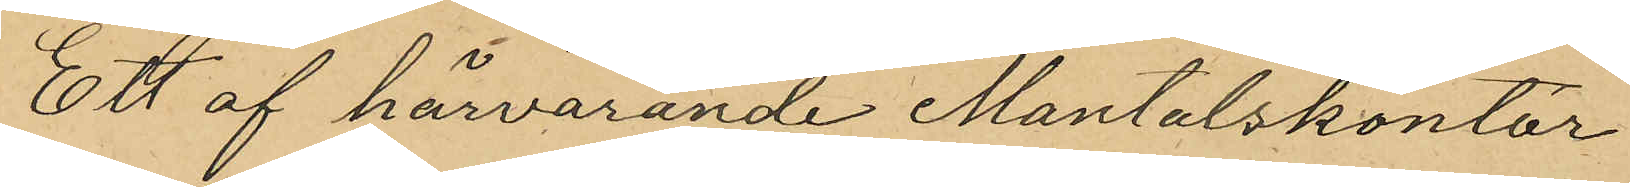Ett af härvarande Mantalskontor
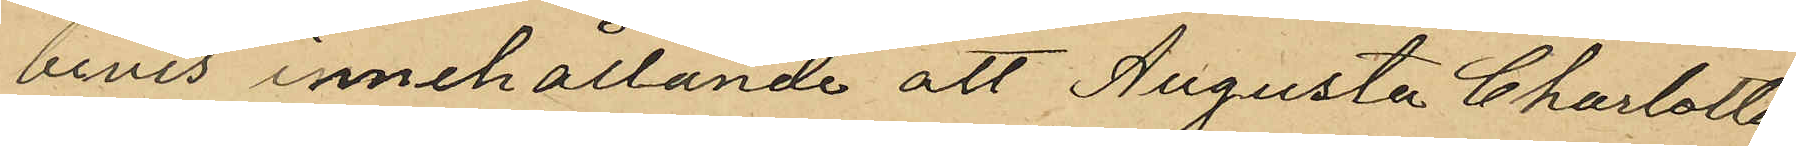bevis innehållande att Augusta Charlotta
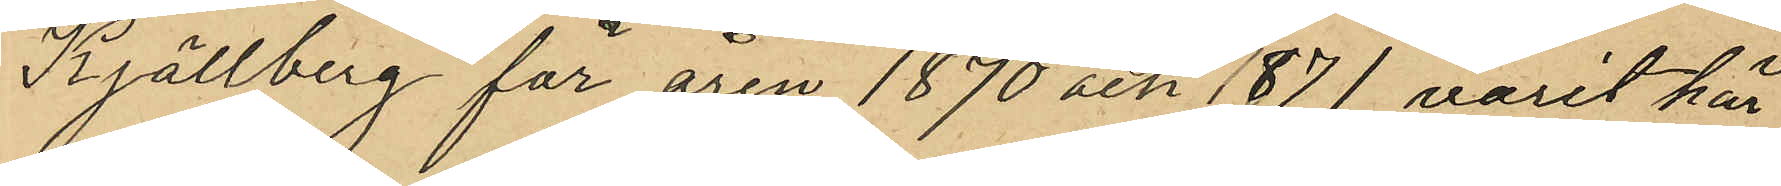Kjellberg för åren 1870 och 1871 varit här
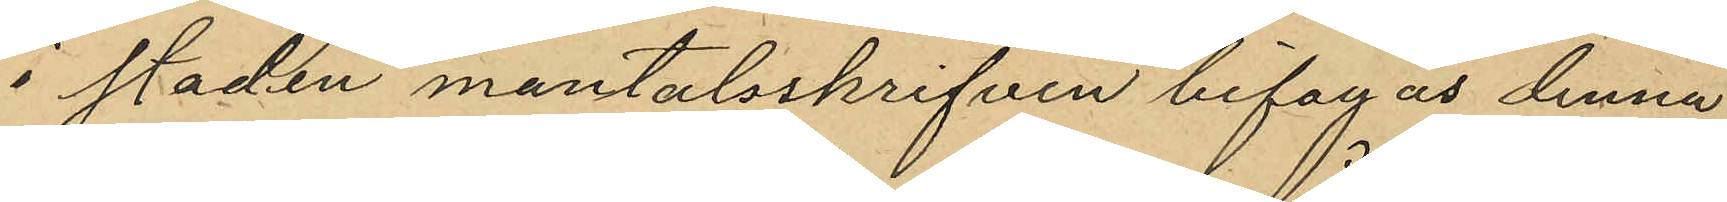i staden mantalsskrifven bifogas denna
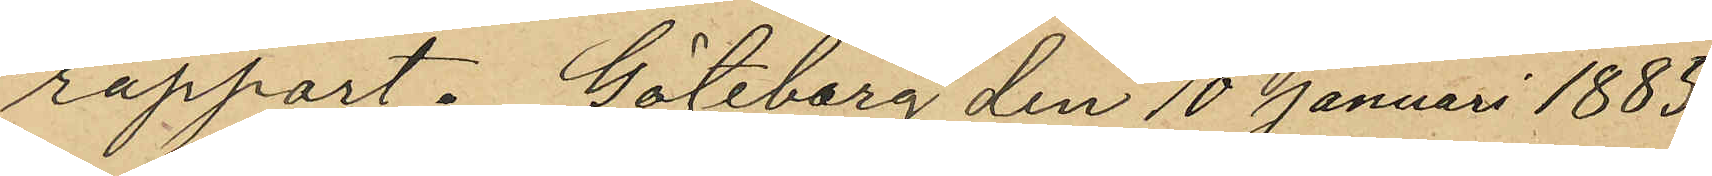rapport. Göteborg den 10 Januari 1885.
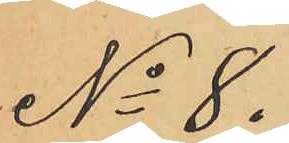No 8.
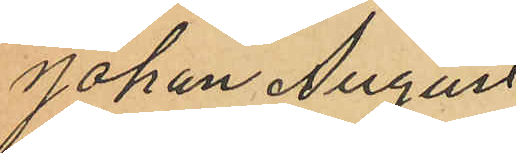Johan August
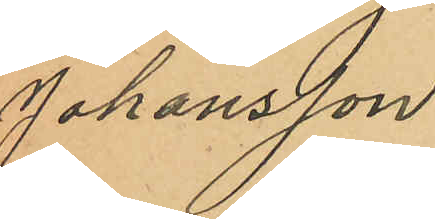Johansson
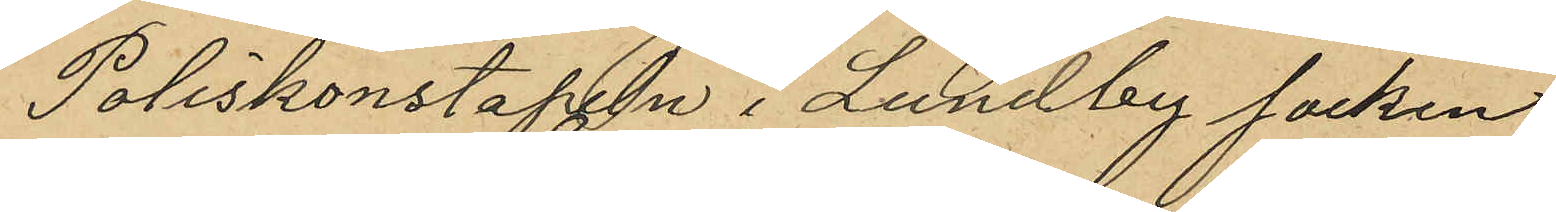Poliskonstapeln i Lundby socken
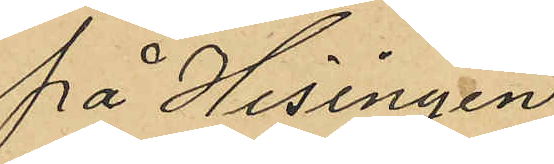på Hisingen
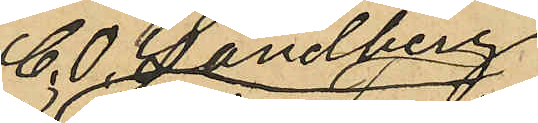C. O. Sandberg
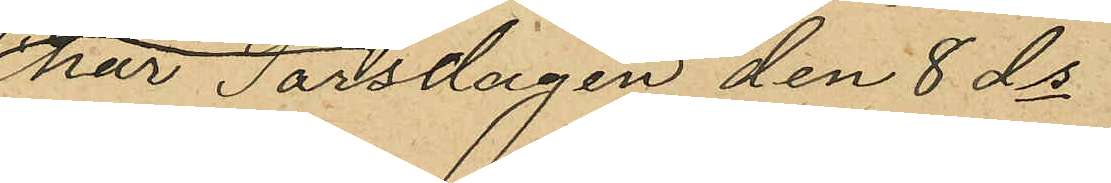har Torsdagen den 8 ds
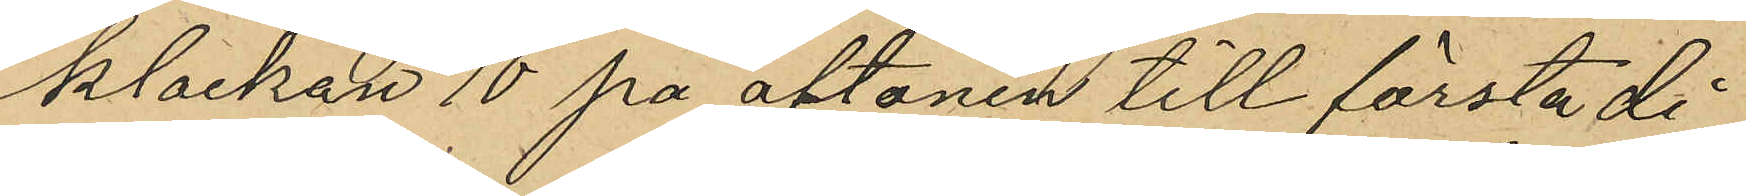klockan 10 på aftonen till första di¬
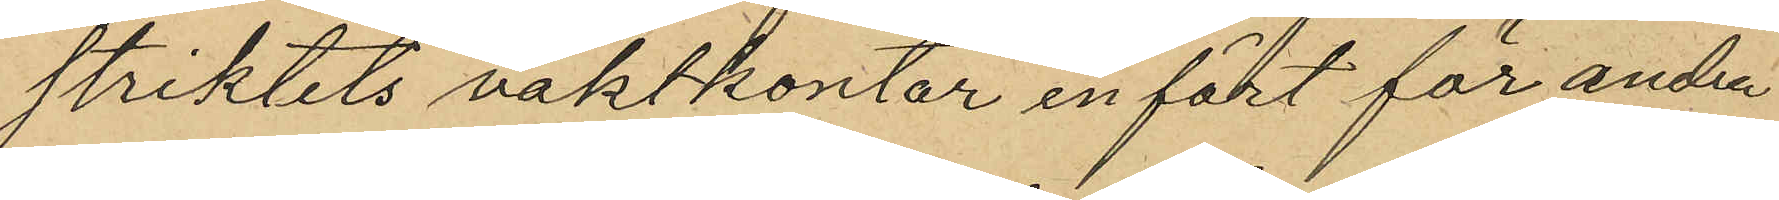striktets vaktkontor infört för andra
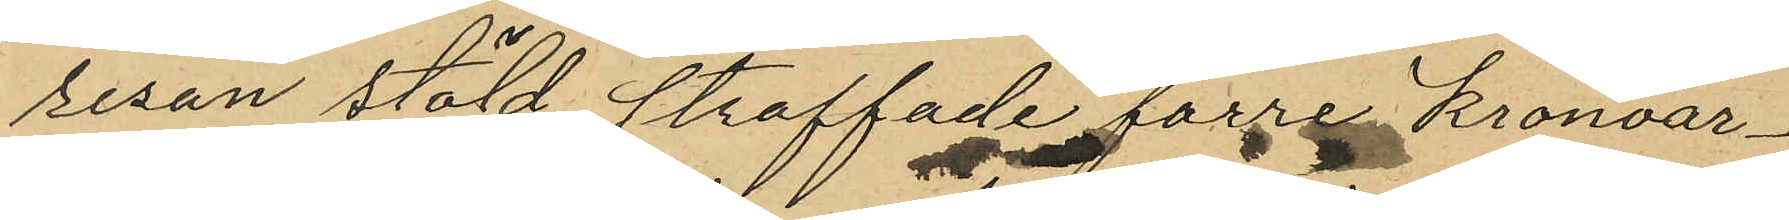resan stöld straffade förre Kronoar¬
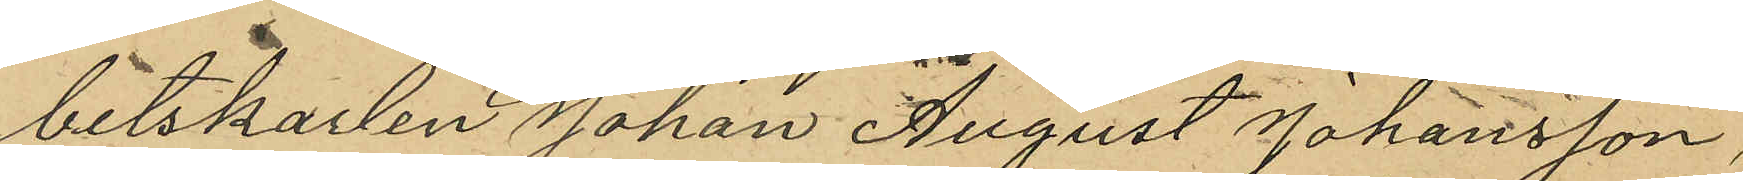betskarlen Johan August Johansson,
